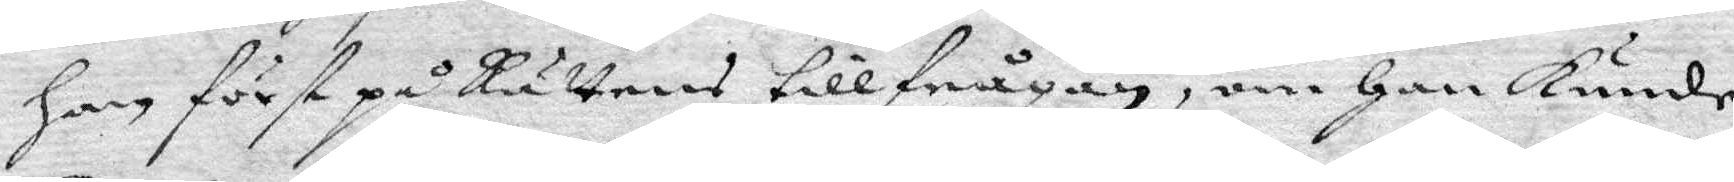Han först på Rättens tillfrågan om Han kunde
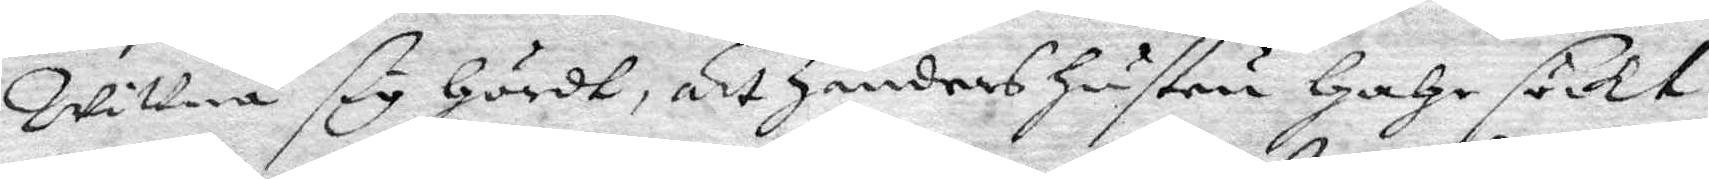wittna sig Hördt, att Jnders Hustru HaHe söckt
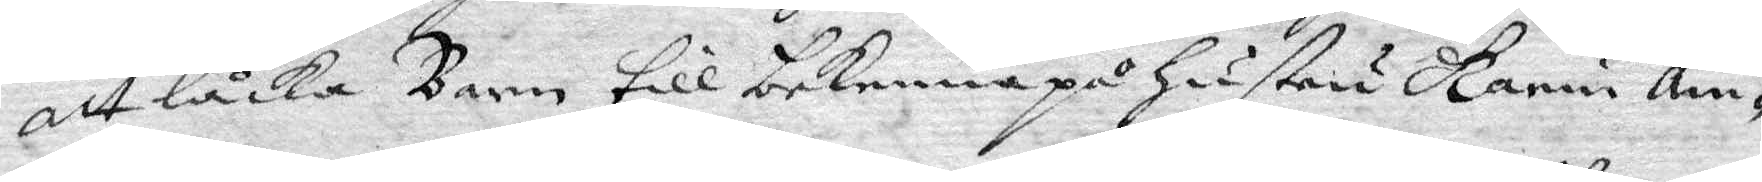att låcka Barn till bekenna på Hustru Karin Am¬
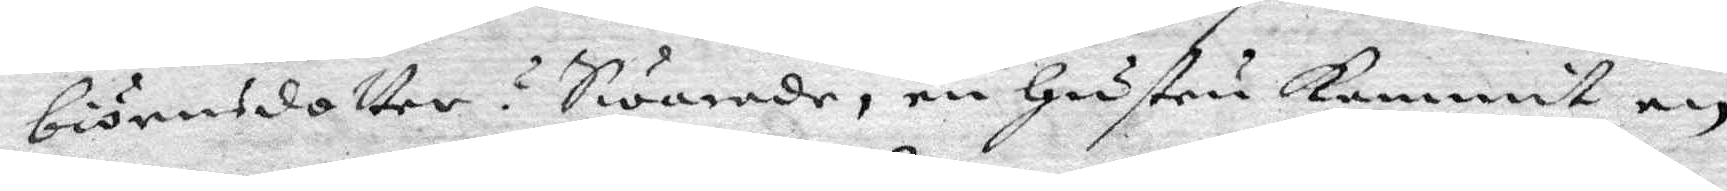biörnsdotter? Swarade, en Hustru kommit en
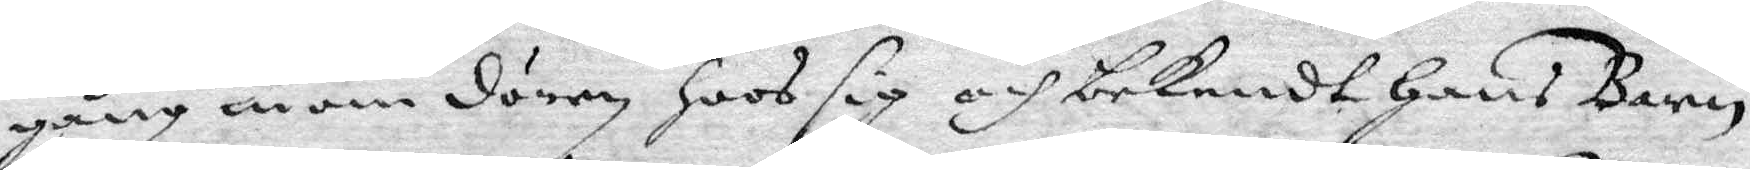gång inom dörrn Hoos sig och bekendt Hans Barn
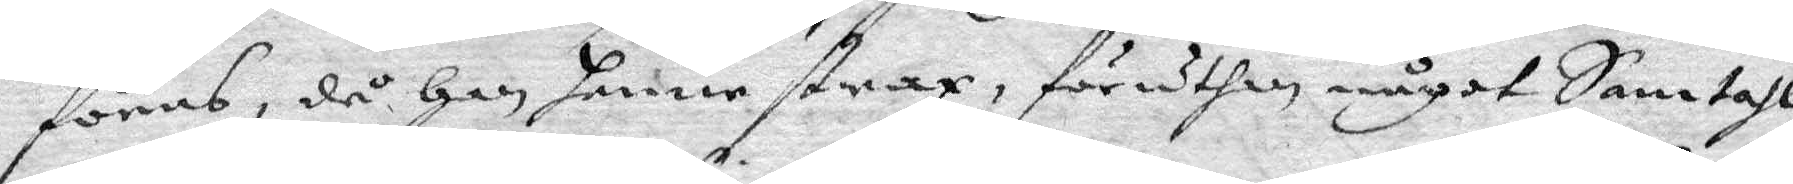föras, då Han henne strax, föruthan något Samtahl,
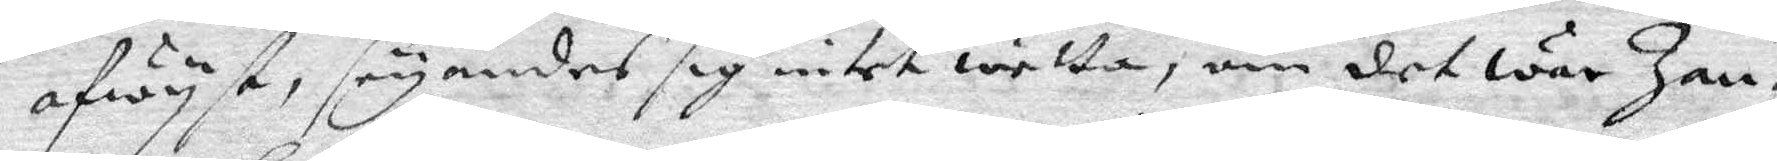afwyst, seyandes sig intet wetta, om det war Jan¬
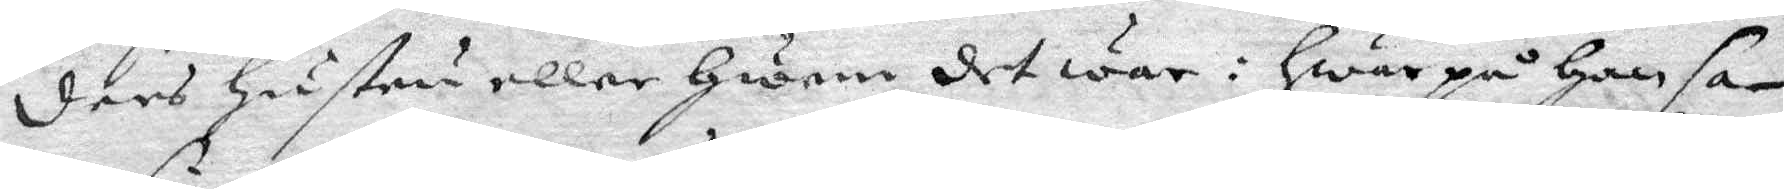ders Hustru eller Hwem det war: Hwarpå Han sa¬
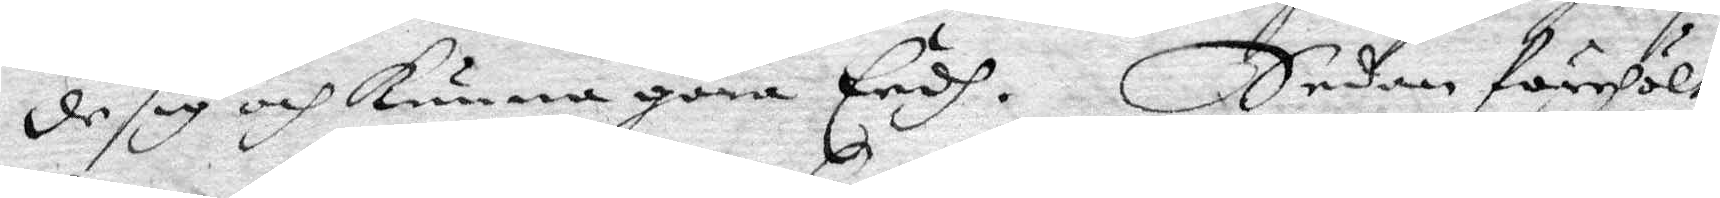de sig och kunna göra Eedh. sedan förehöltz
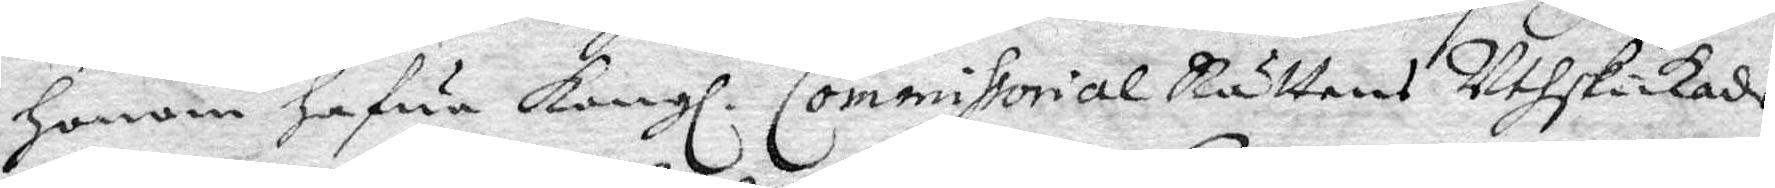Honom Hafua Kongl. Commissorial Rättens Uthskickade
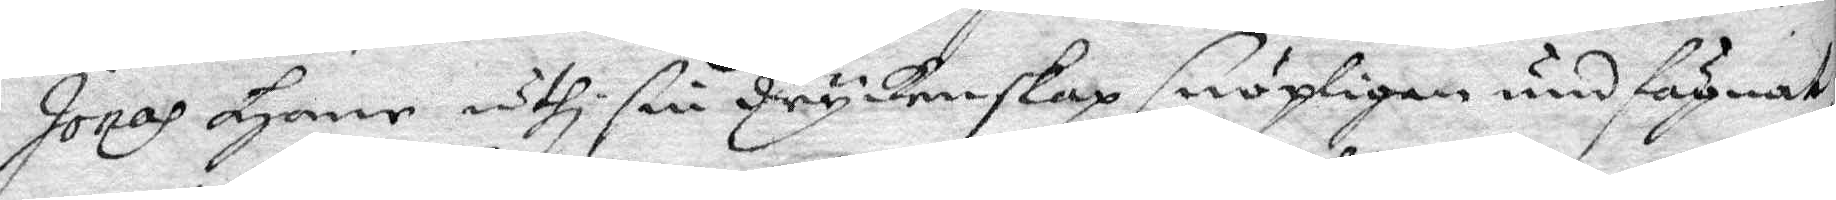Jonas Hane uthi sin dryckenskap snöpligen undfägnat
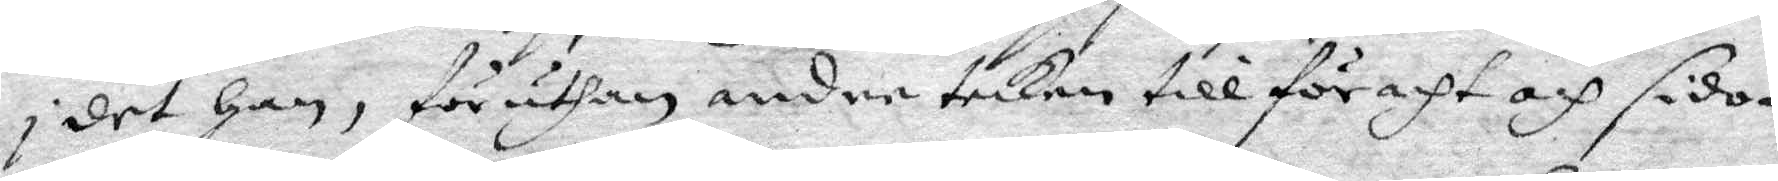i det Han, föruthan andre tecken till föraht och sido¬
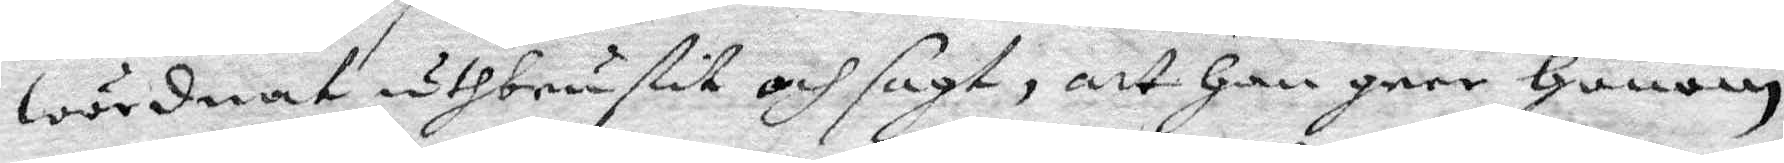wördnat uthbrutit och sagt, att Han geer Honom
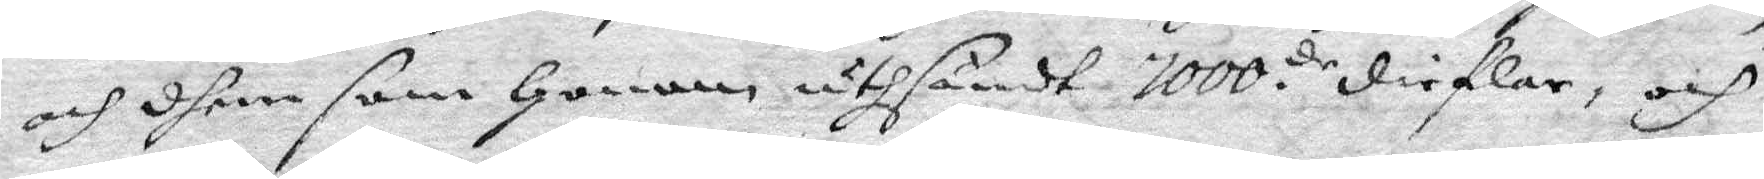och dhem som Honom uthsändt 1000.de dieflar, och
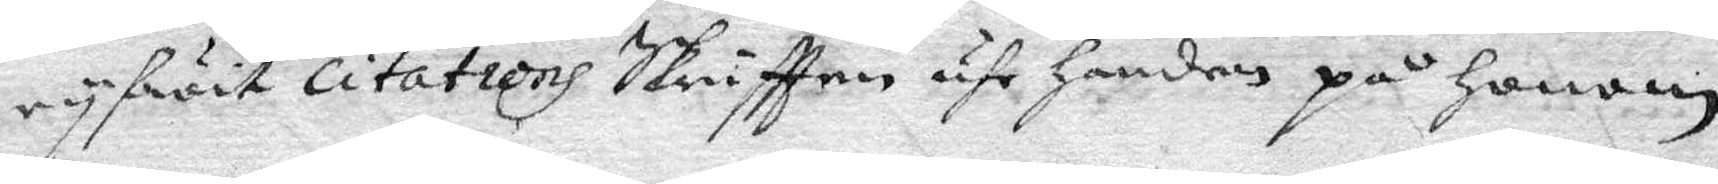ryfwit citations Skriftten uhr Handen på Honom
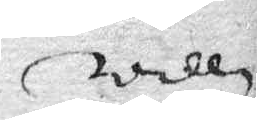willi
